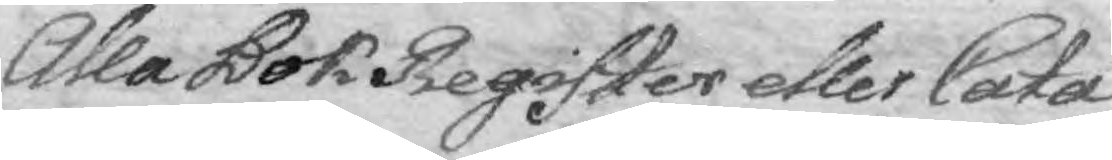Alla Bok Register eller Cata¬
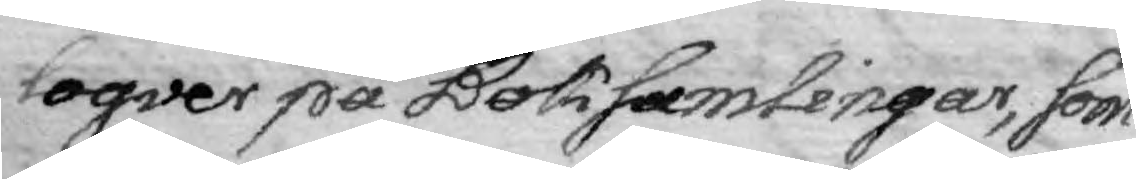logver på Boksamlingar, som
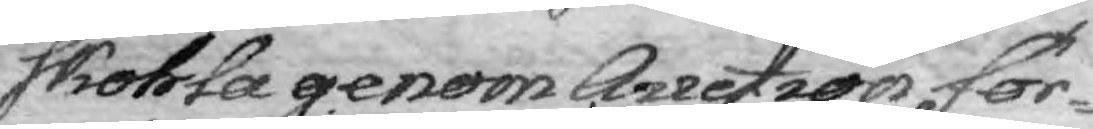skohla genom Auction för¬
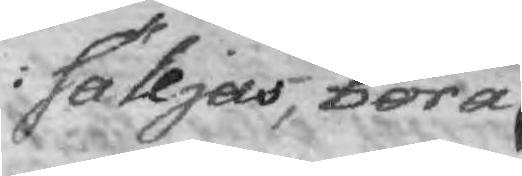sälljas, böra
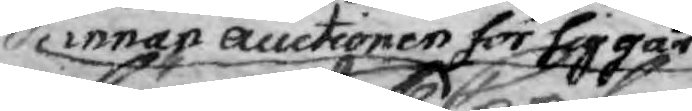innan auctionen förliggär
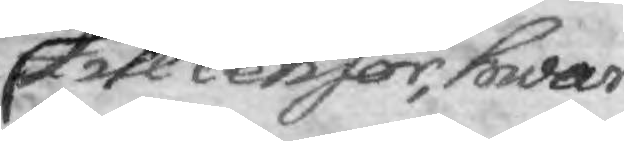till Censor, hwar
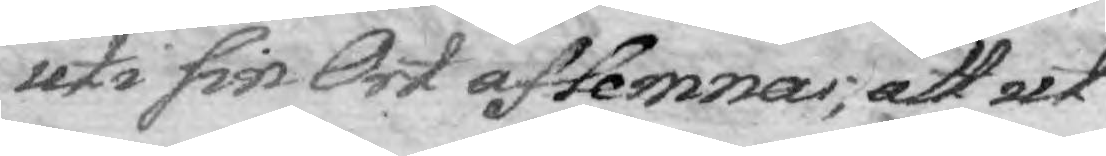uti sin Ort aflemmas, att ut¬
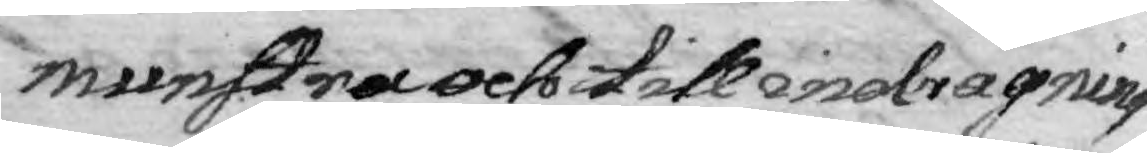munstra och till indragning
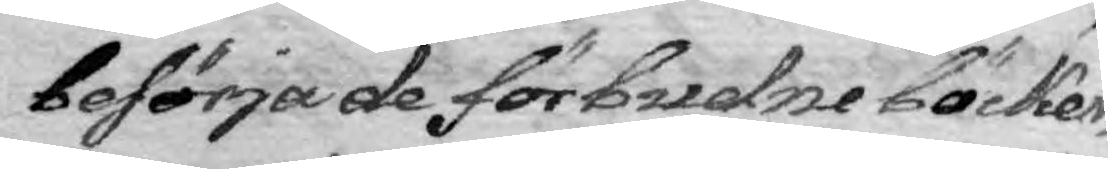besörja de förbudne böcker,
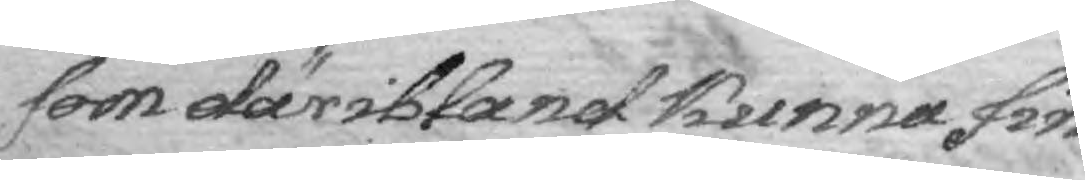som däribland kunna fin¬
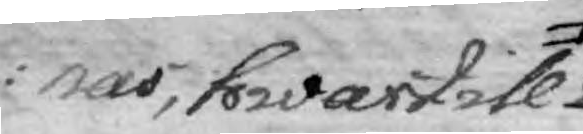nas, hwartill
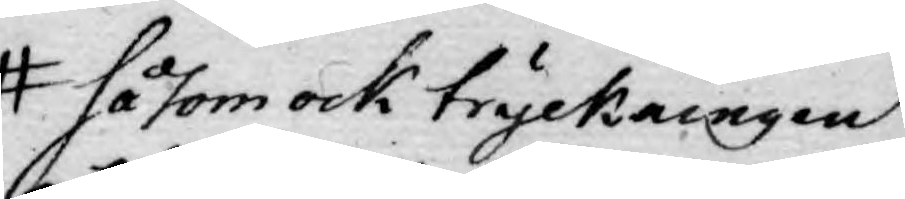såsom ock tryckningen
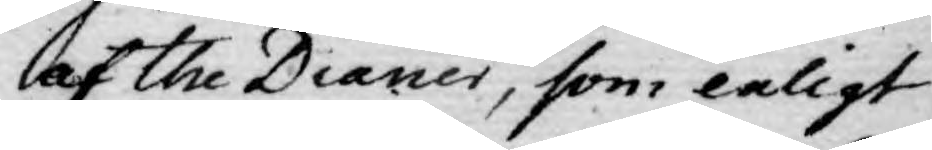af the Diarier, som enligt
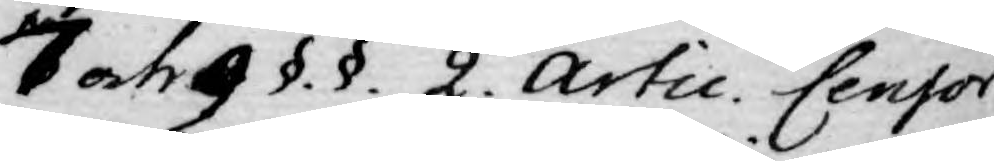7 och 9 §. §. 2. Artic. Censor
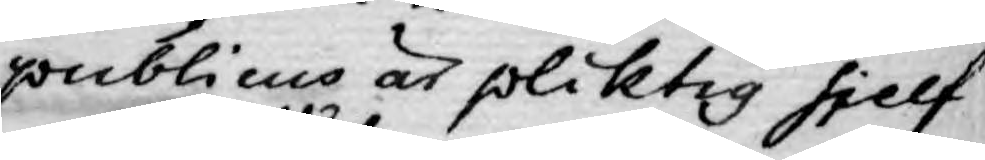publicus är pliktig sjelf
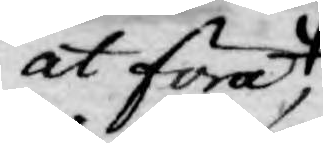at föra,
